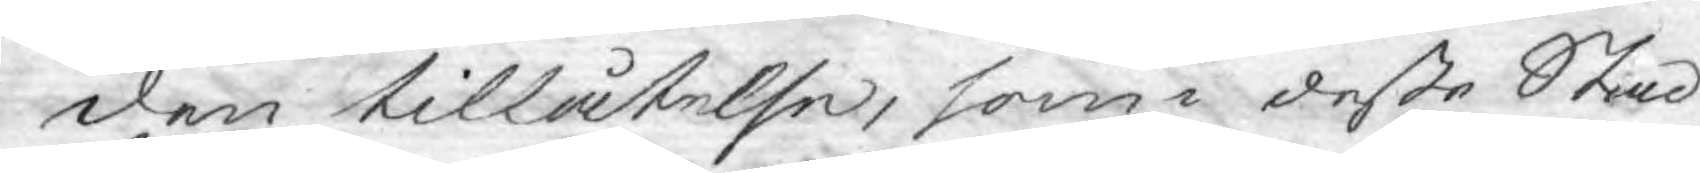den tillåtelse, som i deße Stad¬
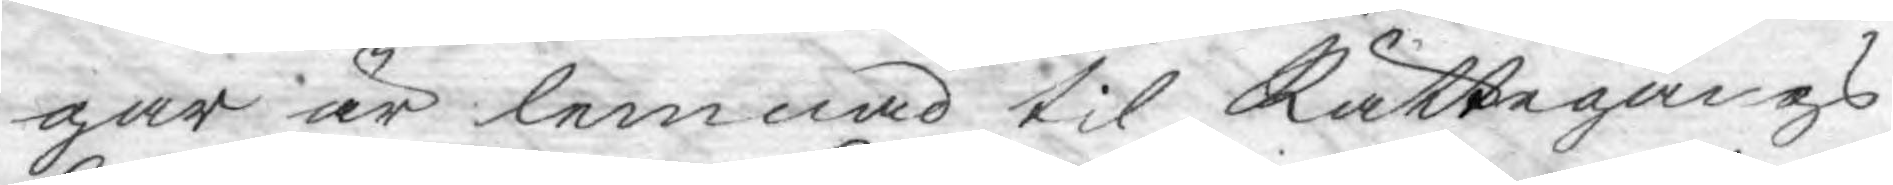gar är lemnad til Rättegångs
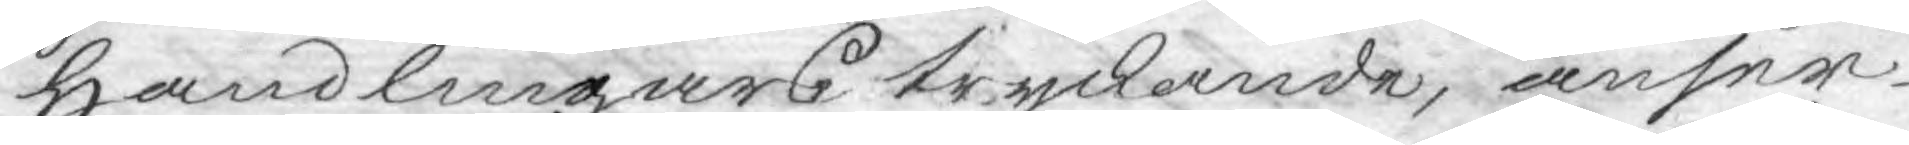Handlingars tryckande, anser
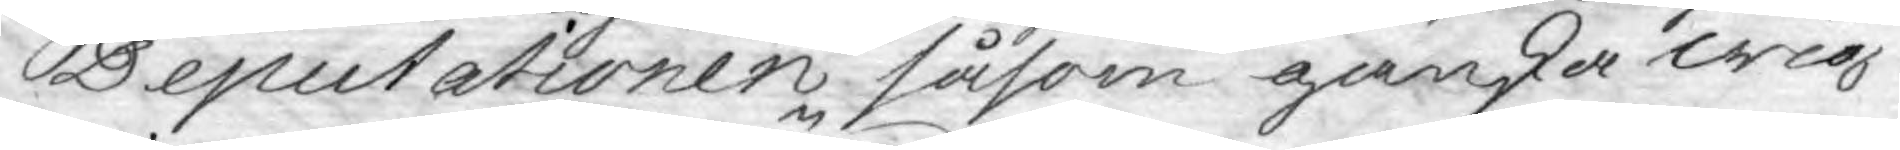Deputationen såsom ganska wig¬
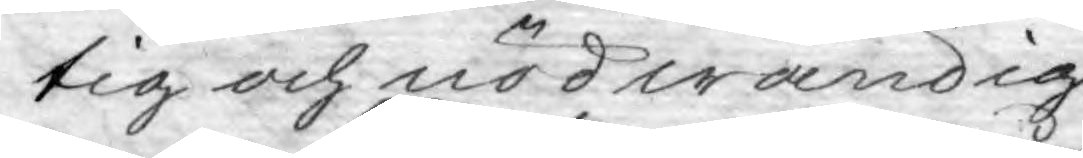tig och nödwändig.
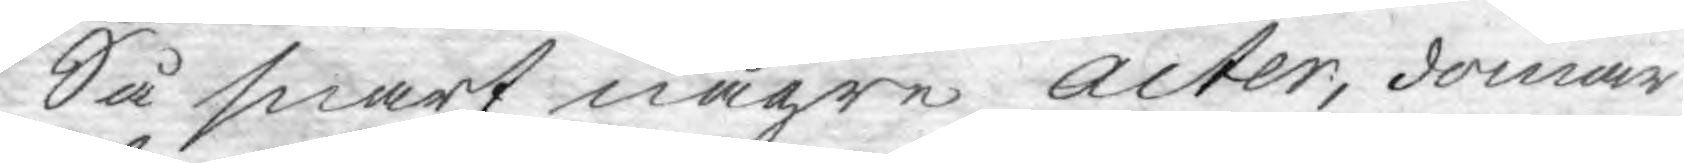Så snart någre acter, domar
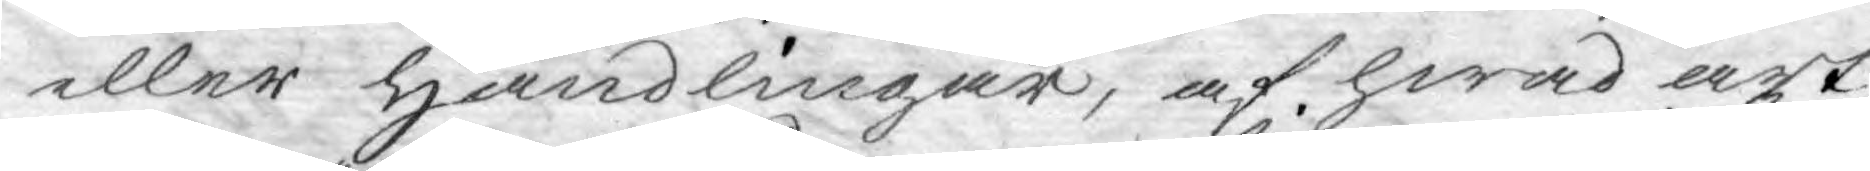eller handlingar, af hwad art
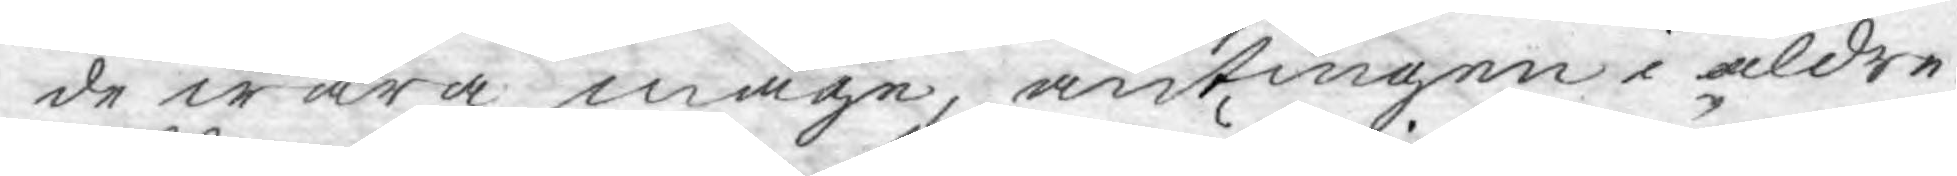de wara måge, antingen i äldre
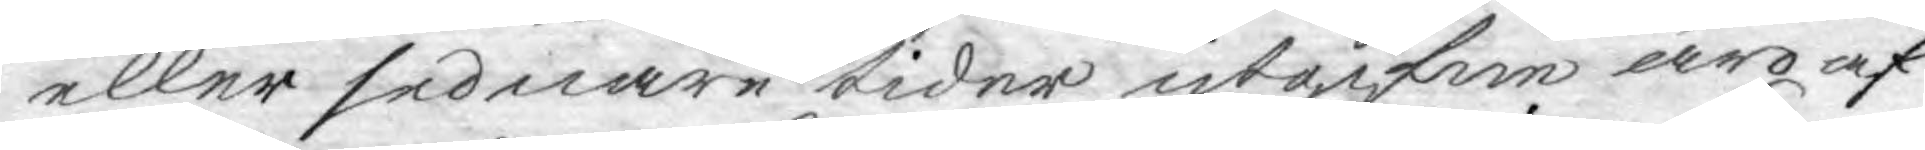eller sednare tider utgifne äro af
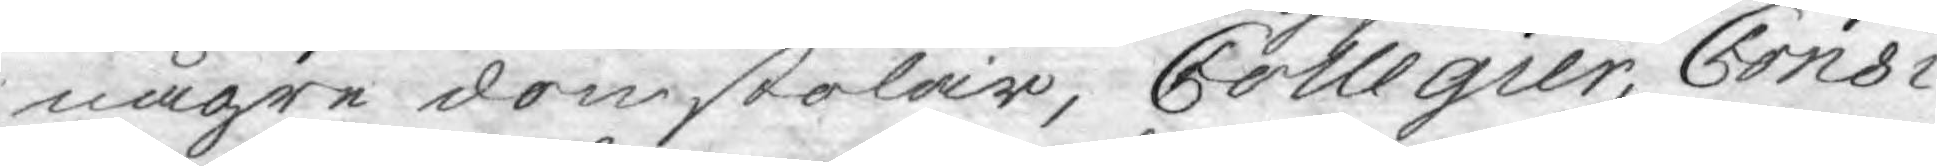någre domstolar, Collegier, Consi¬
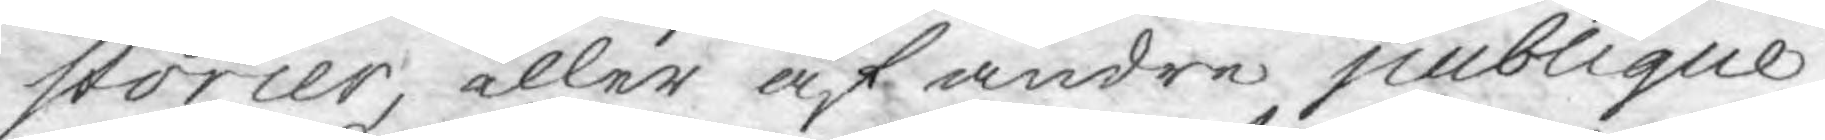storier, eller af andre publique
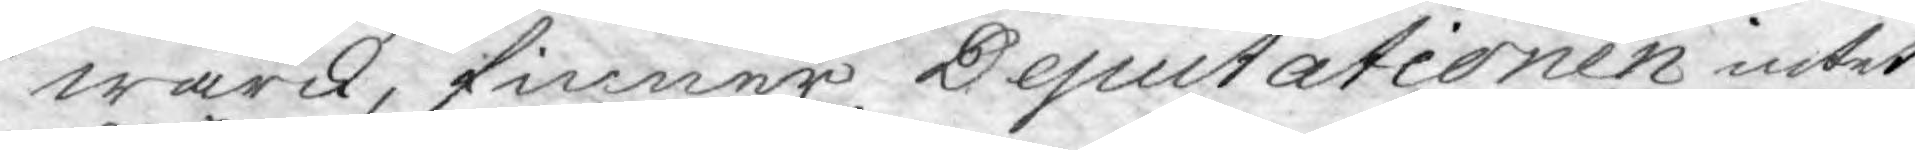wärck, finner Deputationen intet
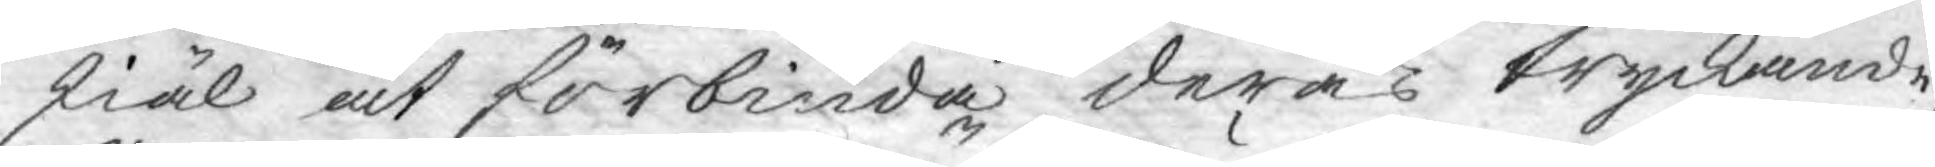skiäl at förbiuda deras tryckande,
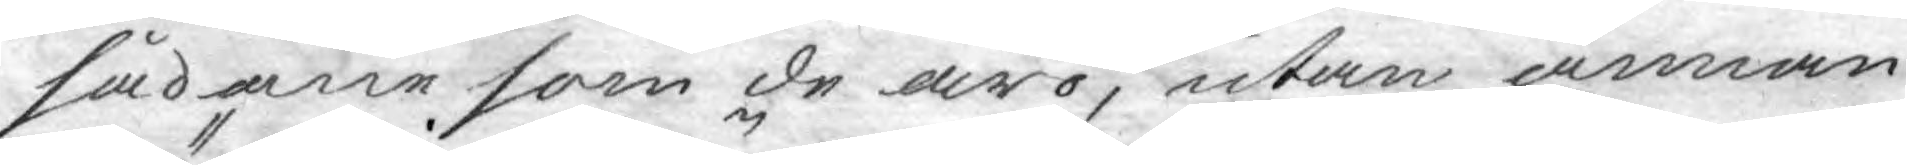sådane som de äro, utan annan
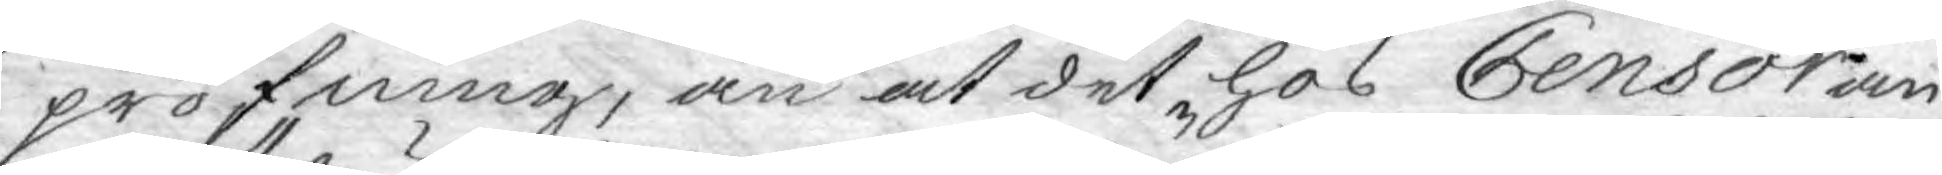pröfning, än at det hos Censor an¬
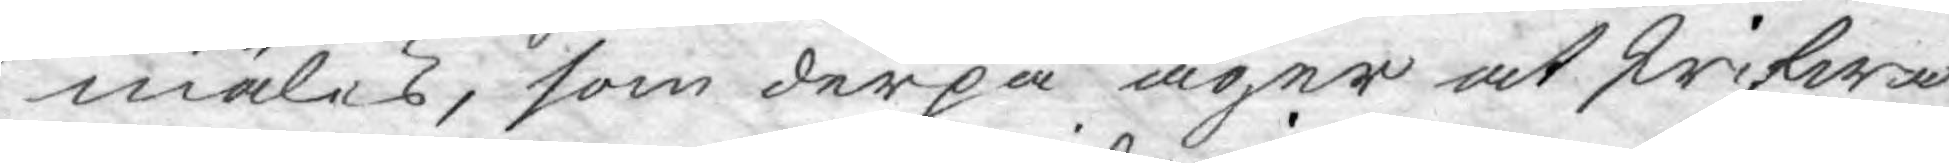mäles, som derpå äger at skrifwa
